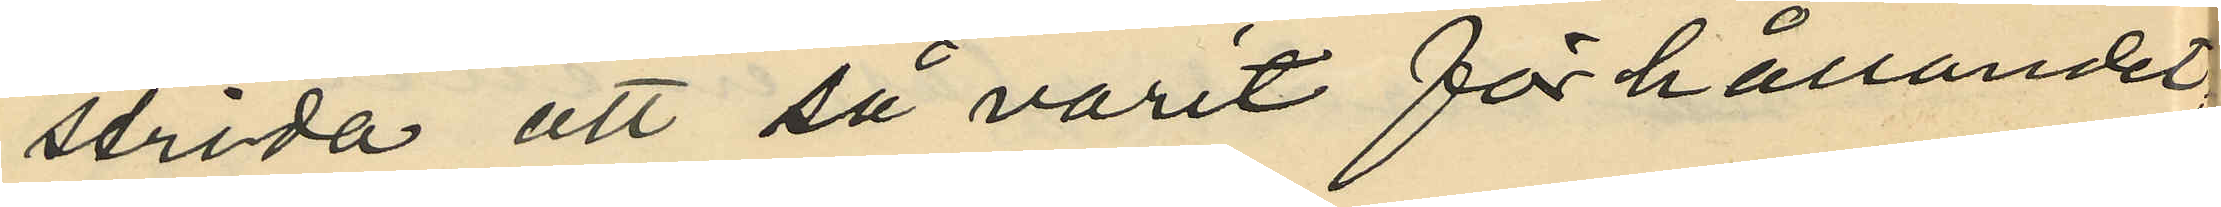strida att så varit förhållandet,
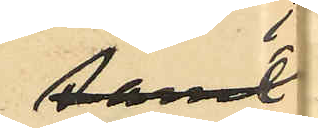samt
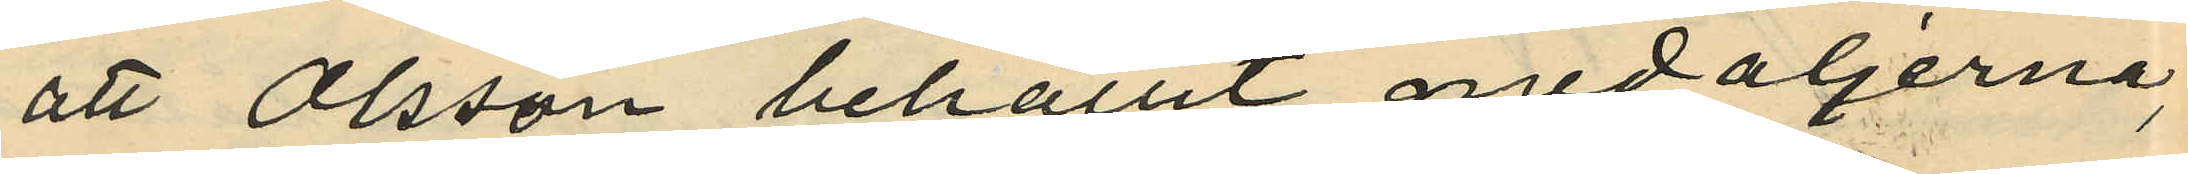att Olsson behållit medaljerna,
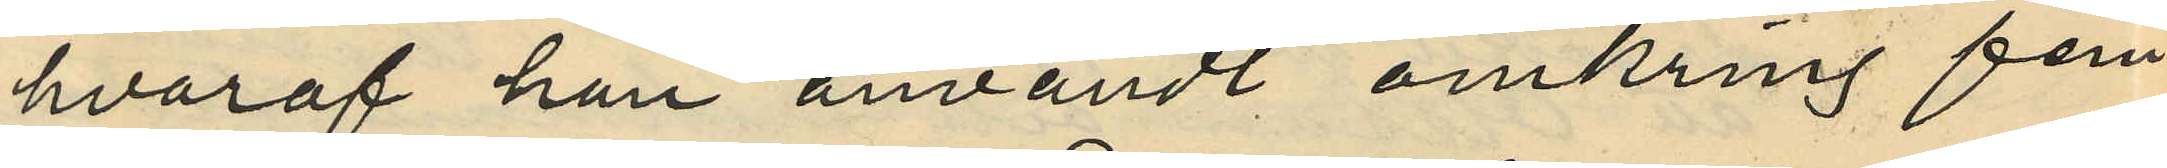hvaraf han användt omkring fem
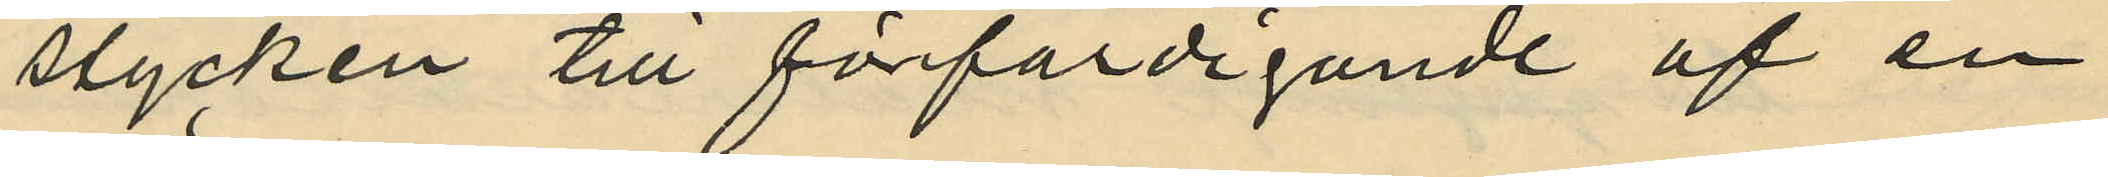stycken till förfärdigande af en
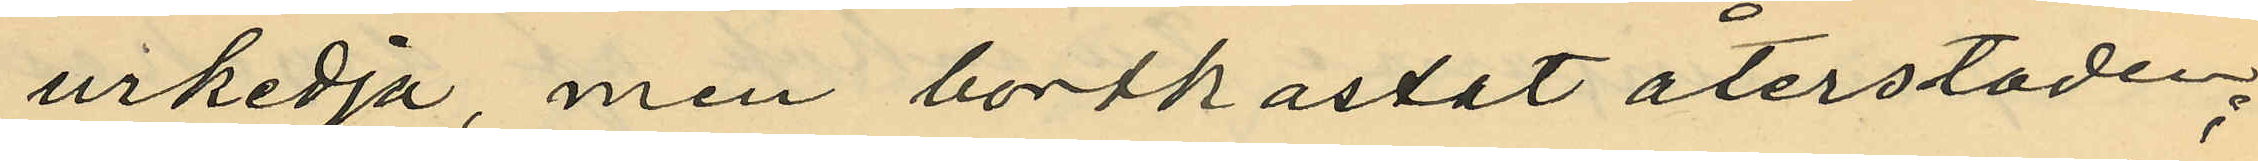urkedja, men bortkastat återstoden;
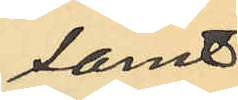samt
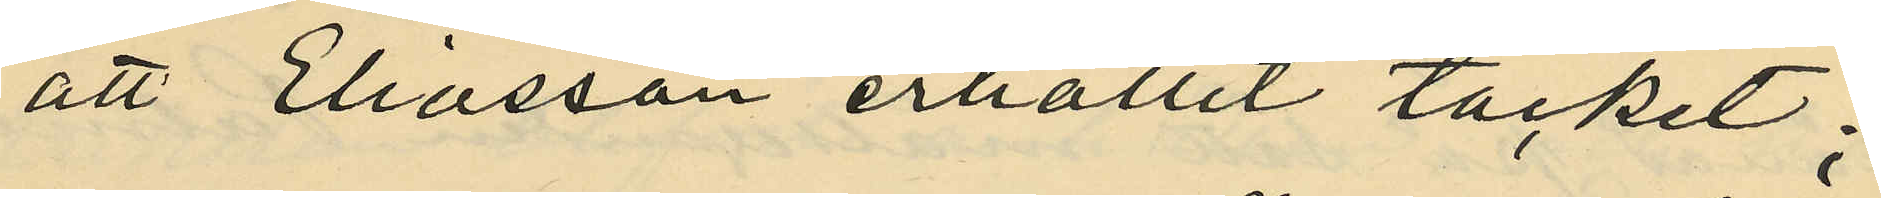att Eliasson erhållit täcket;
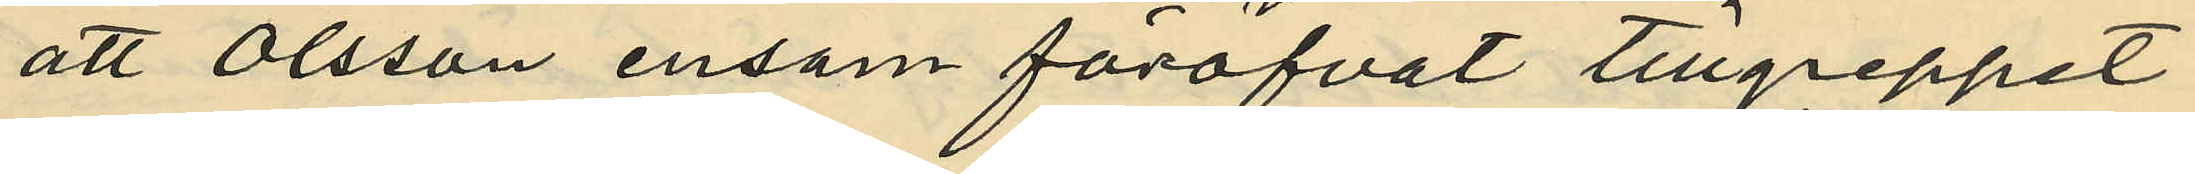att Olsson ensam föröfvat tillgreppet
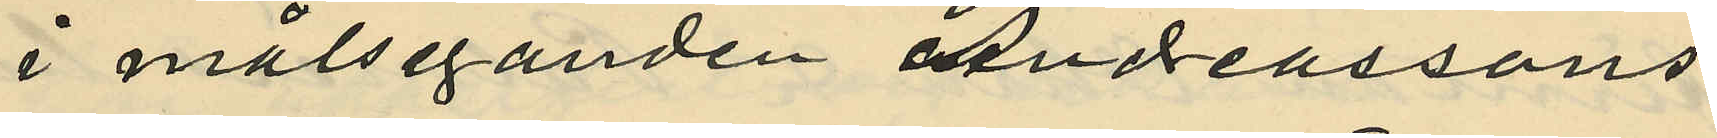i målseganden Andreassons
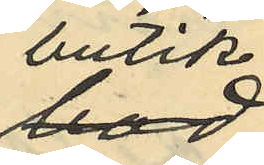butik,
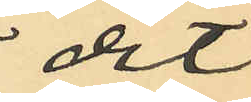dit
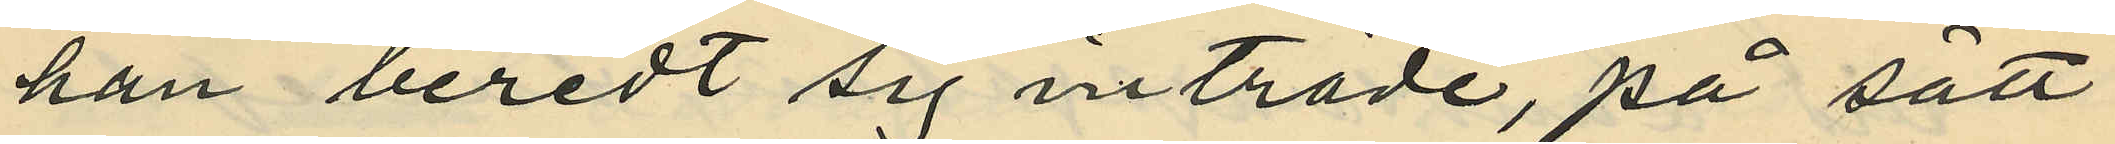han beredt sig inträde, på sätt
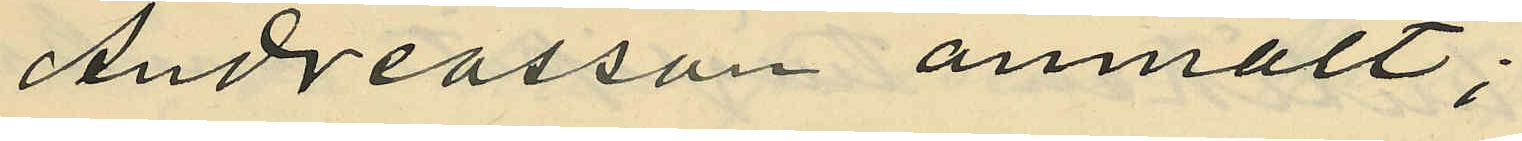Andreasson anmält;
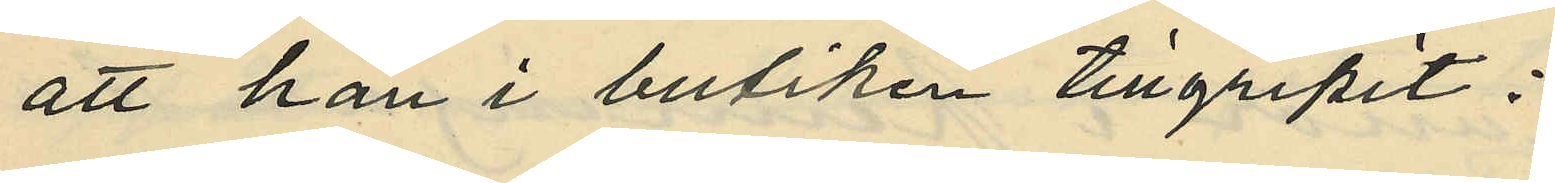att han i butiken tillgripit:
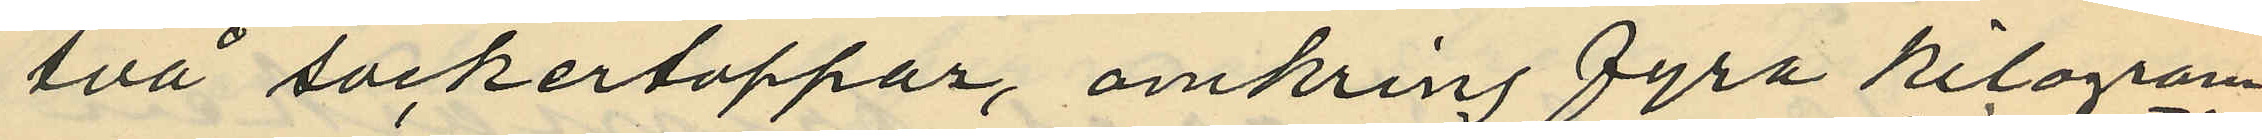två sockertoppar, omkring fyra kilogram
